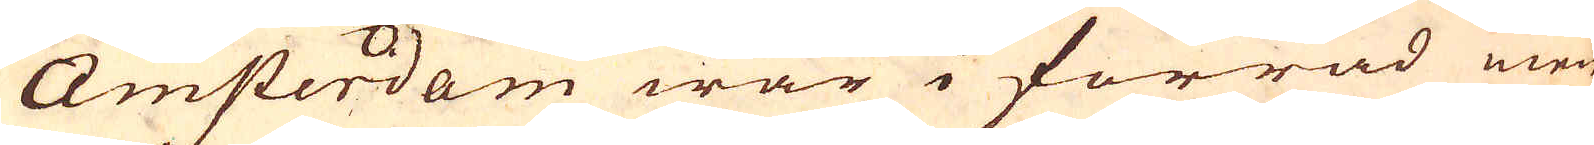Amsterdam war i förråd men
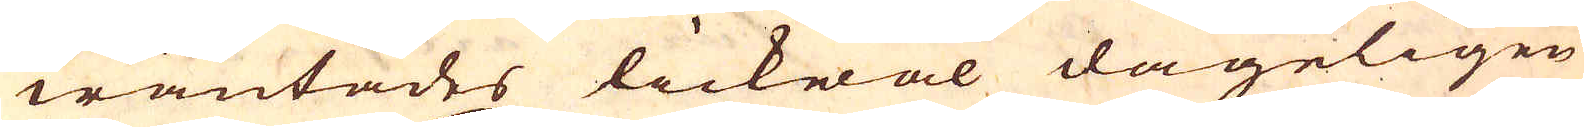wäntades lickwäl dageligen
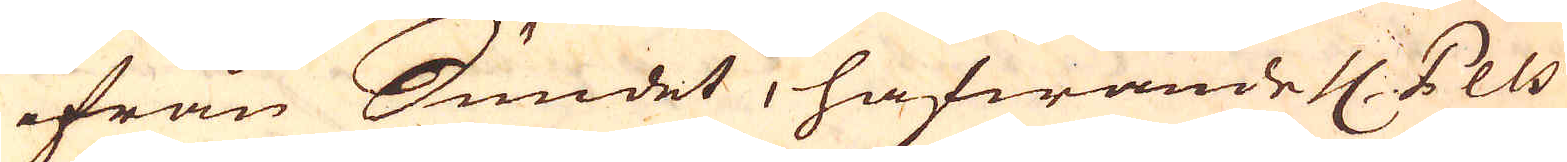ifrån Sundet, hafwande 4 Pels
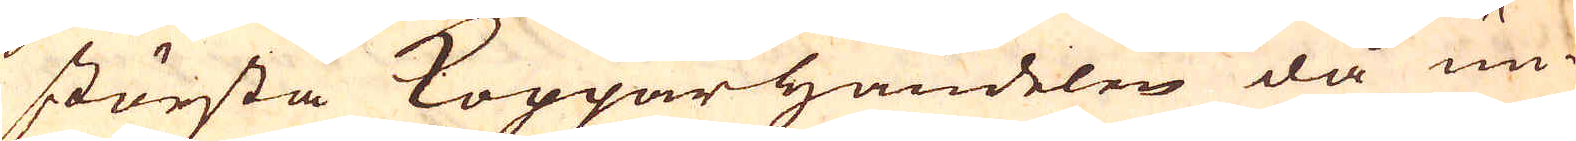största Kopparhandelen då un-
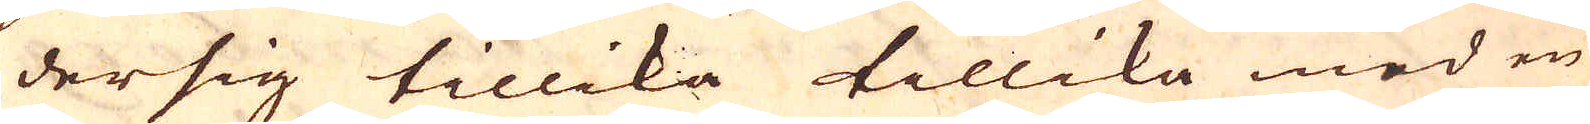dersig tillika tillika med en
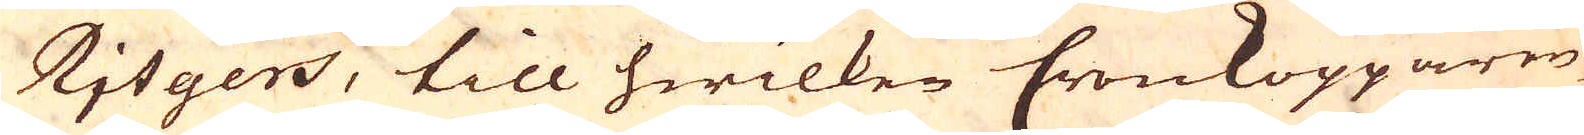Rjtgers, till hwilken Cronkopparen
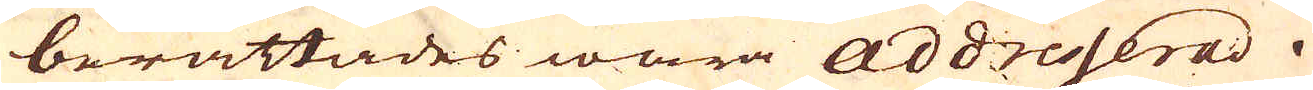berättades wara addresserad.
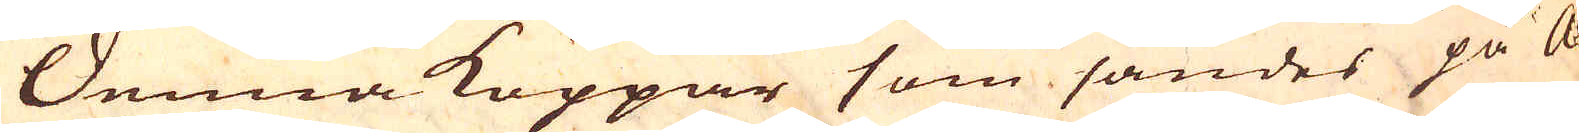Denna Koppar som sändes på A-
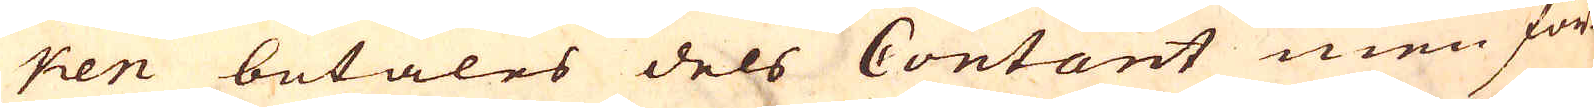ken betales dels Contant men för-
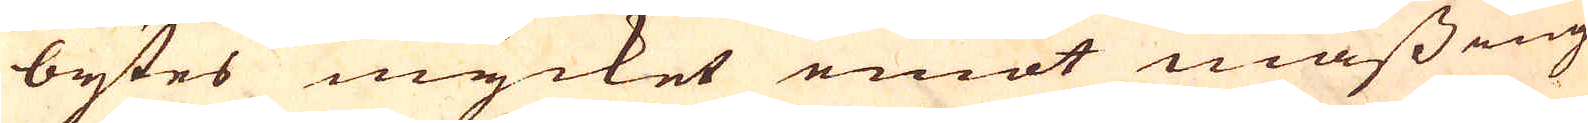bytes mycket emot mässing
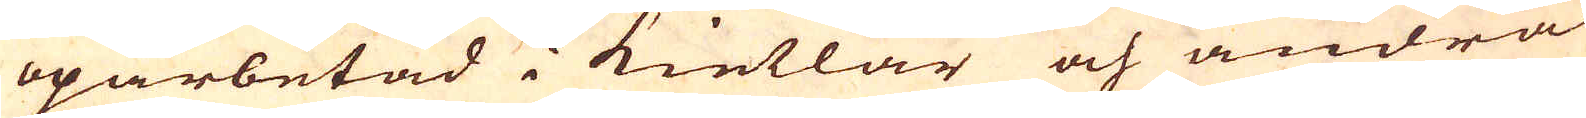oparbetad i kietlar och andra
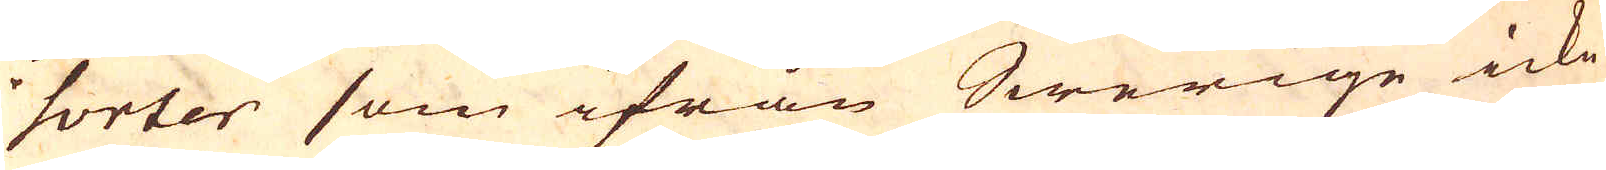sorter som ifrån Swerige icke
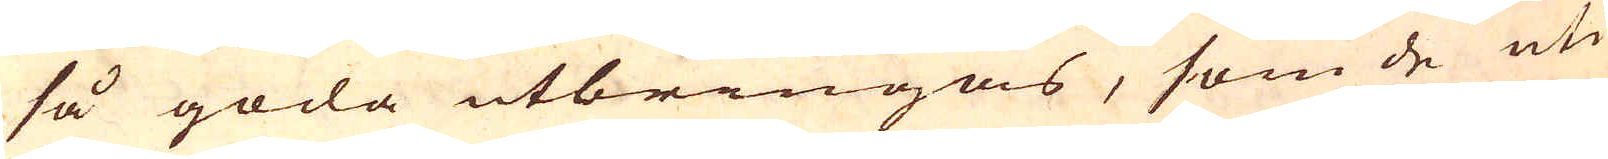så goda utbringas, som de uti
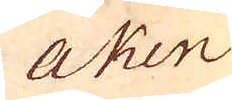Aken
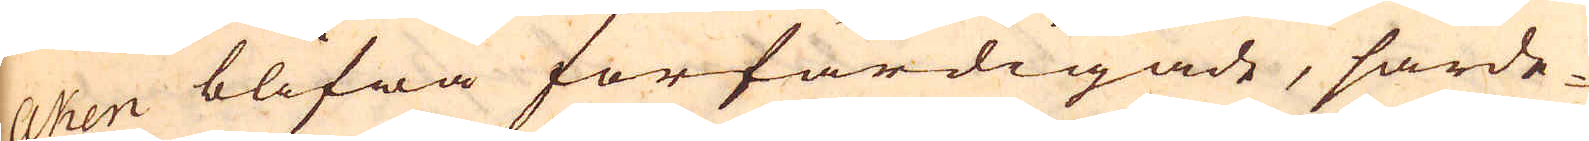Aken blifwa förfärdigade, särde-
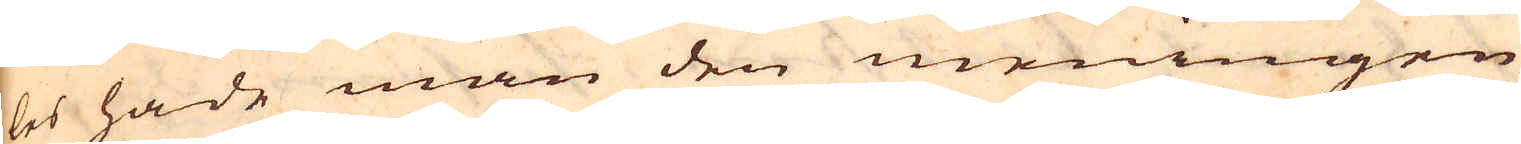les hade man den meningen
